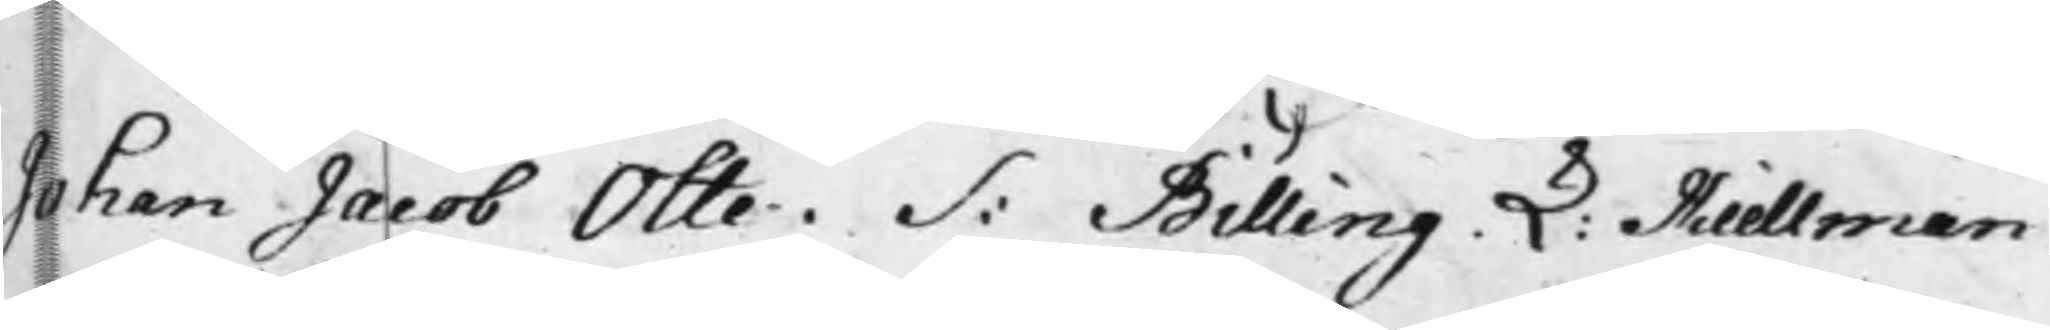Johan Jacob Otte. S: Billing. L: Kiellman
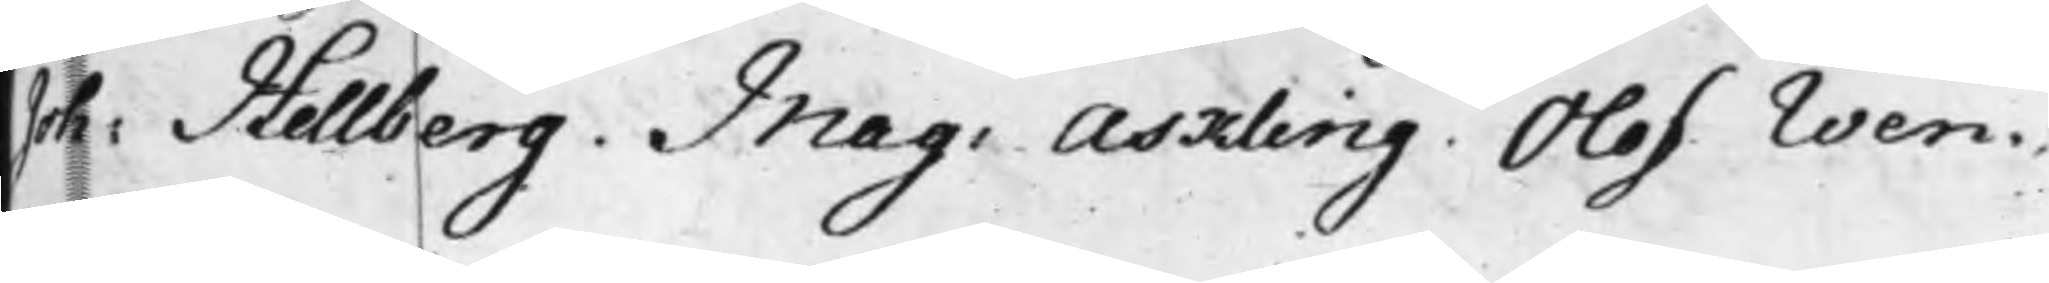Joh: Hellberg. Mag: Askling. Olof Wen¬
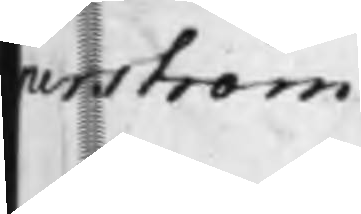nerström
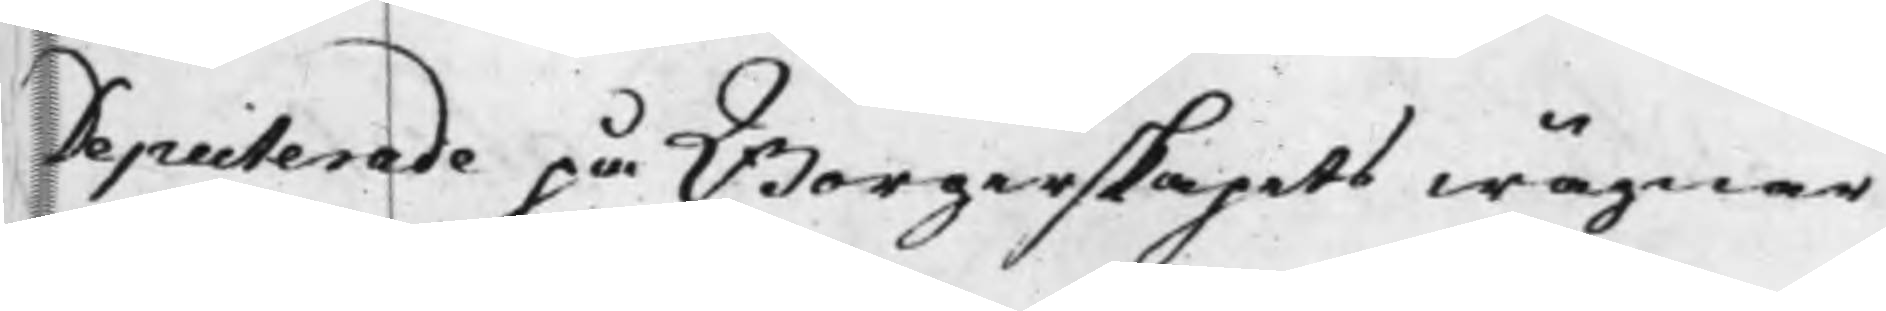Deputerade på Borgerskapets wägnar
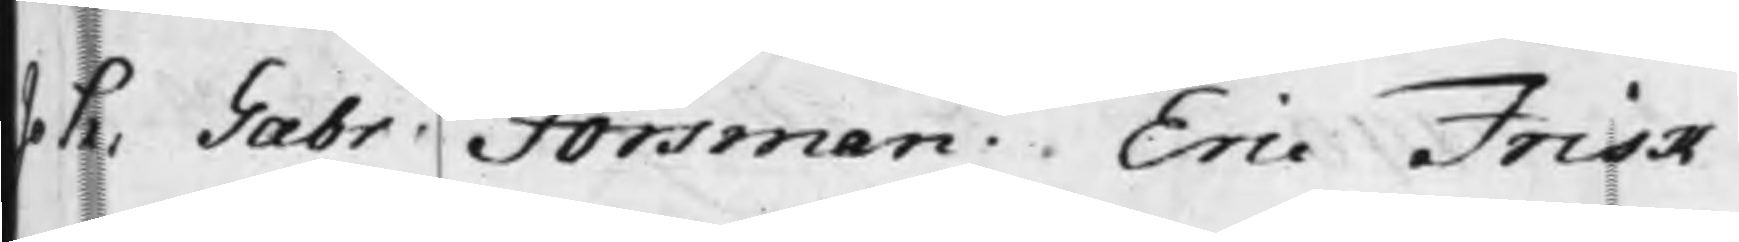Joh: Gabr Forsman. Eric Frisk
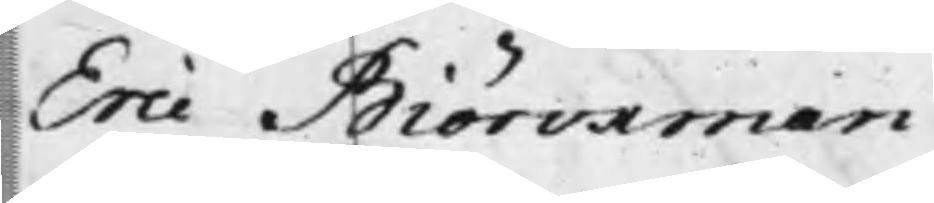Eric Biörckman
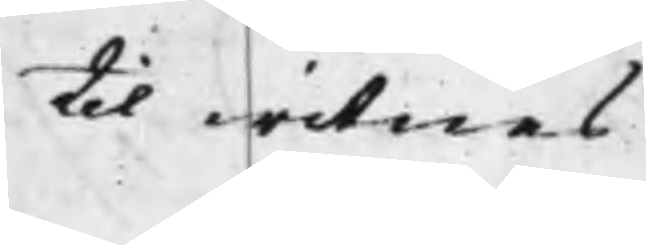til witnes.
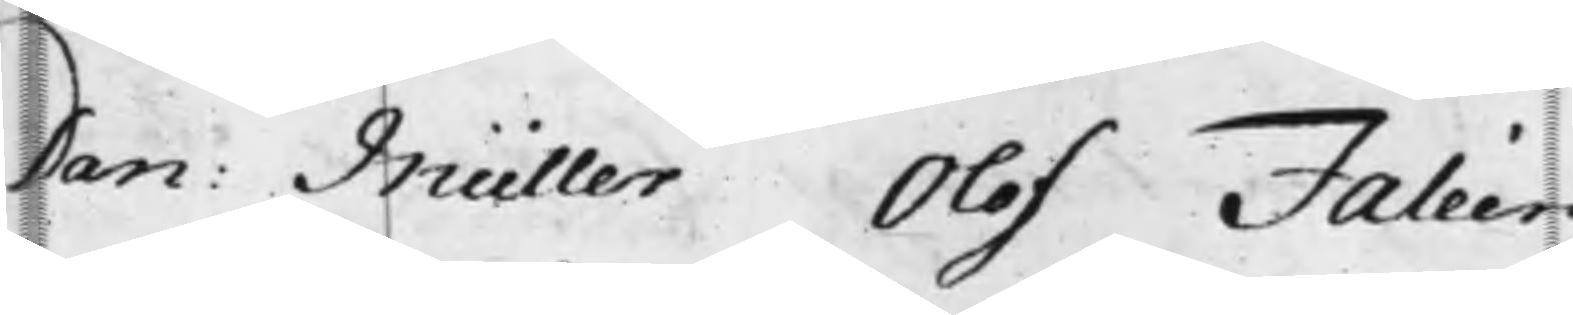Dan:. Müller Olof Faléen
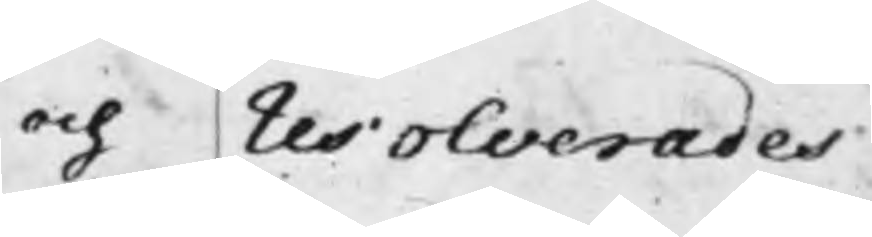och resolverades
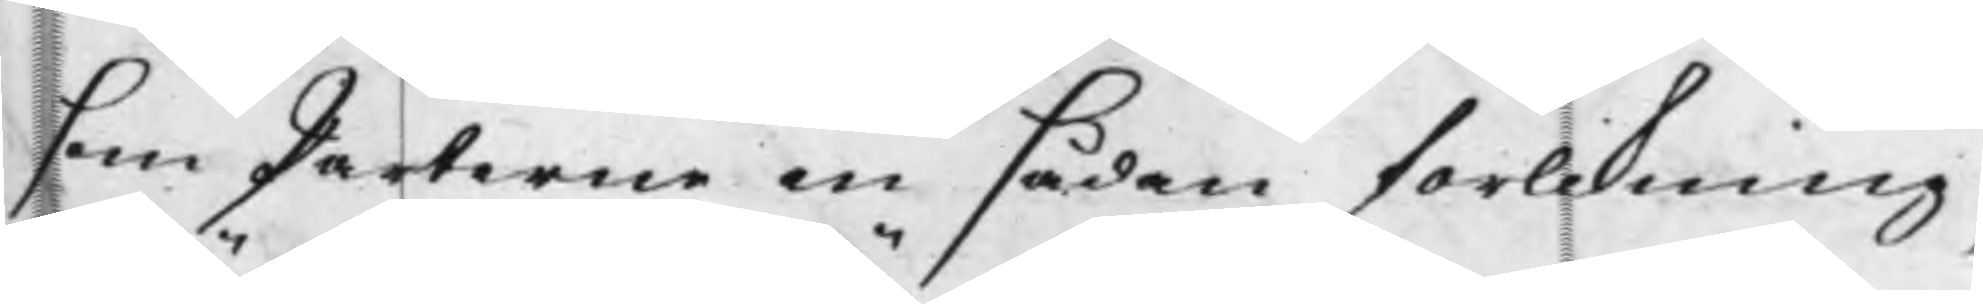som Parterne en sådan förlikning,
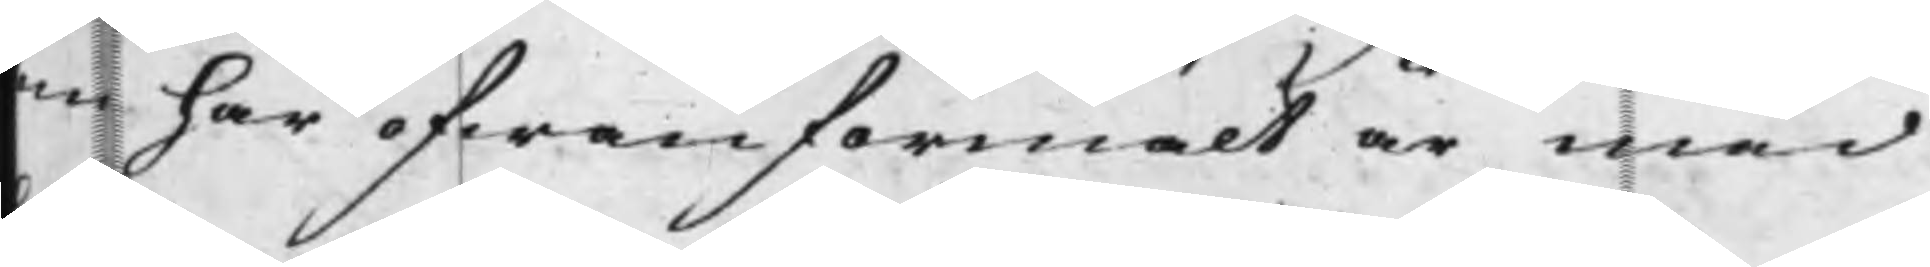som ofwanförmält är med
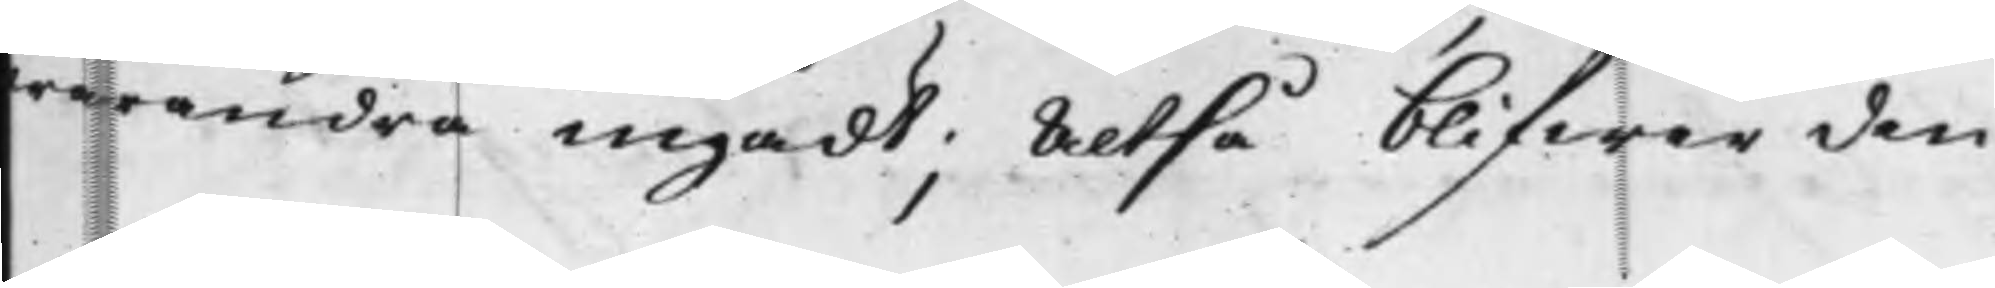hwarandra ingådt; Altså blifwer den
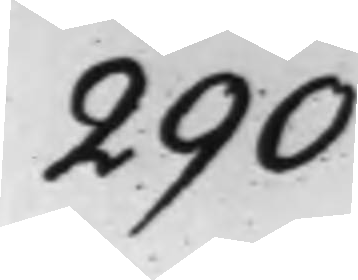290
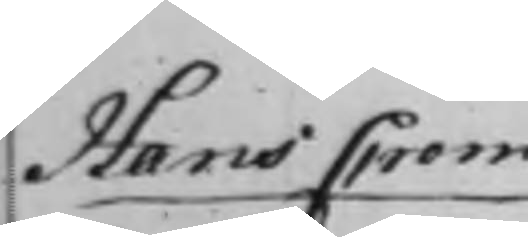Hans Crom
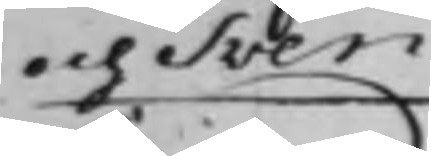och Sven
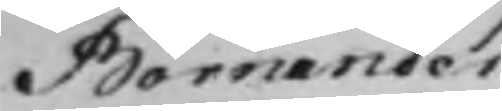Bornander
